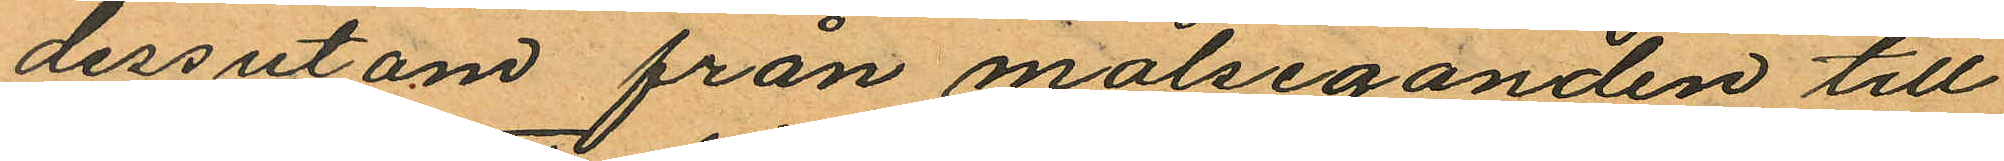dessutom från målseganden till
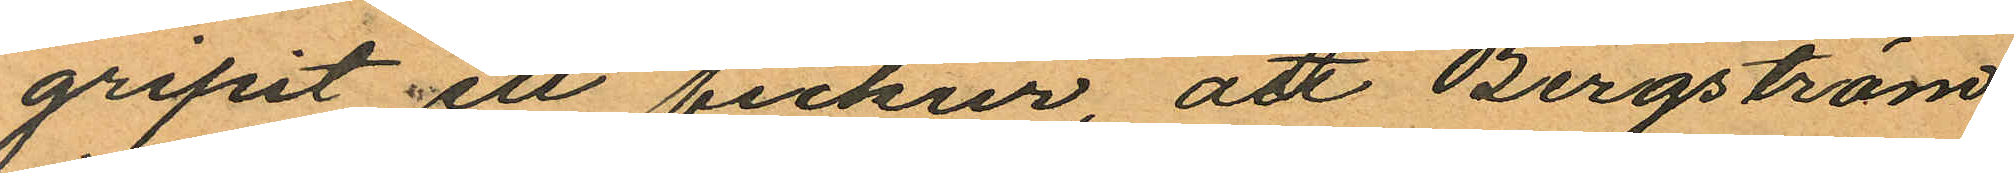gripit ett fickur, att Bergström
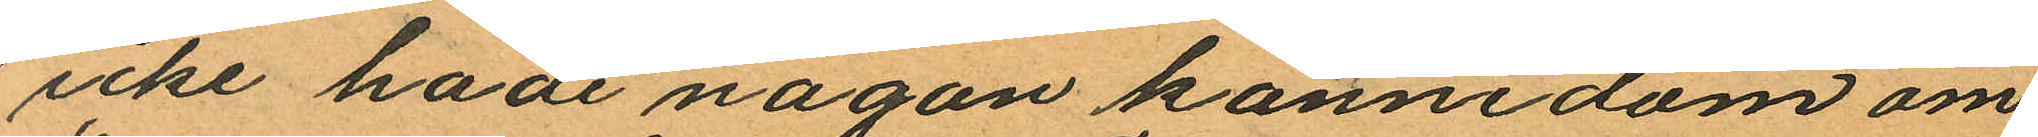icke hade någon kännedom om
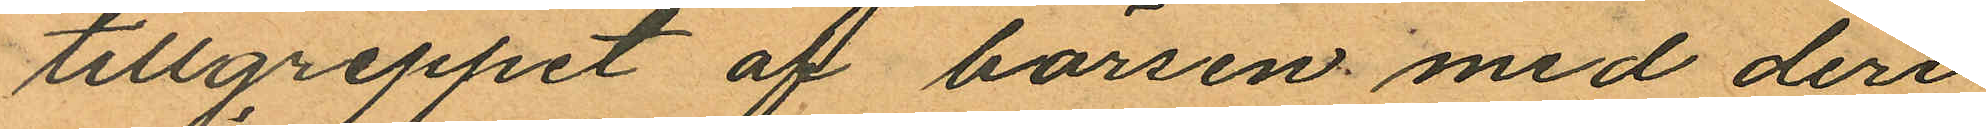tillgreppet af börsen med deri
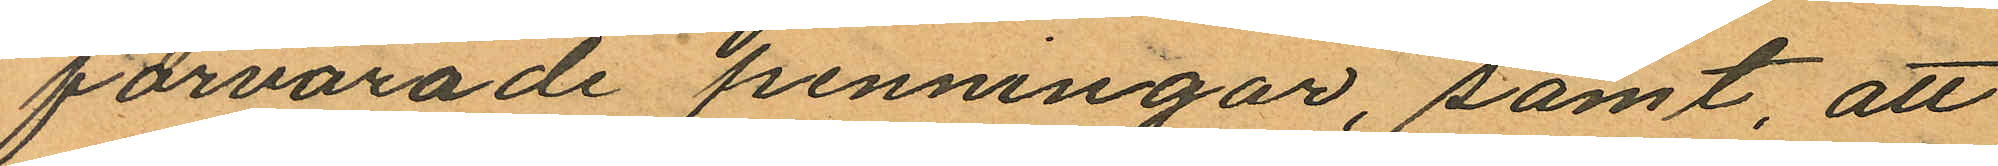förvarade penningar, samt, att
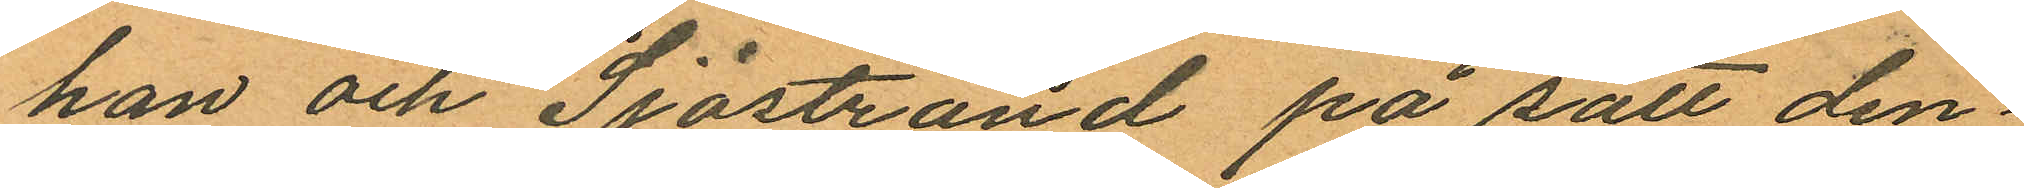han och Sjöstrand på sätt den¬
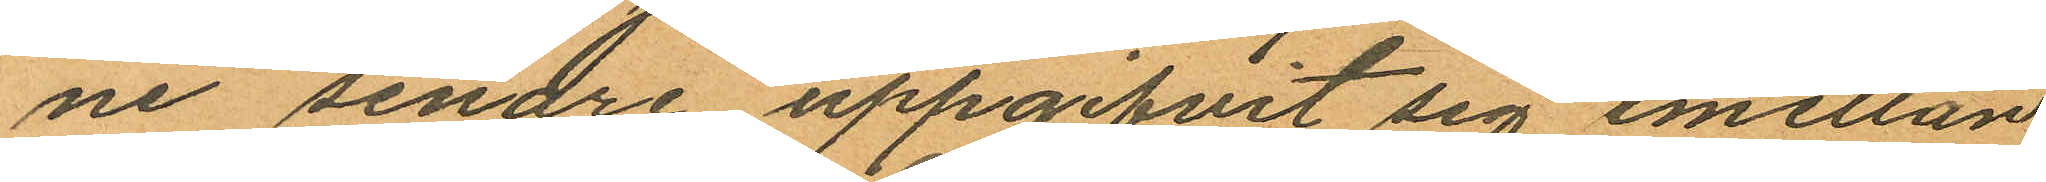ne senare uppgifvit sig emellan
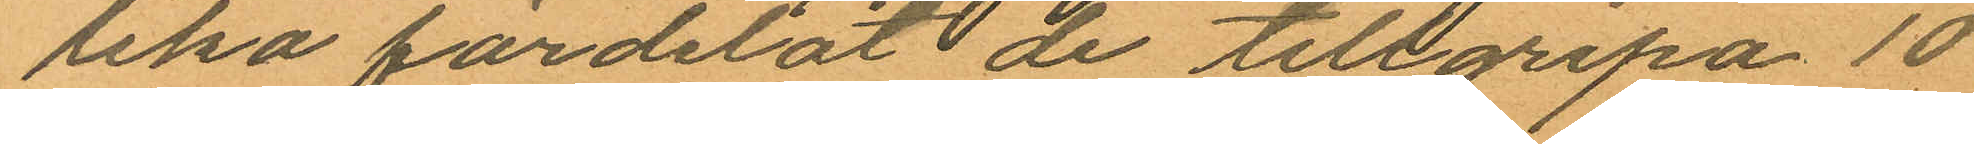lika fördelat de tillgripa 10
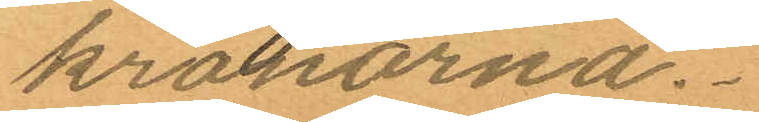kronorna.
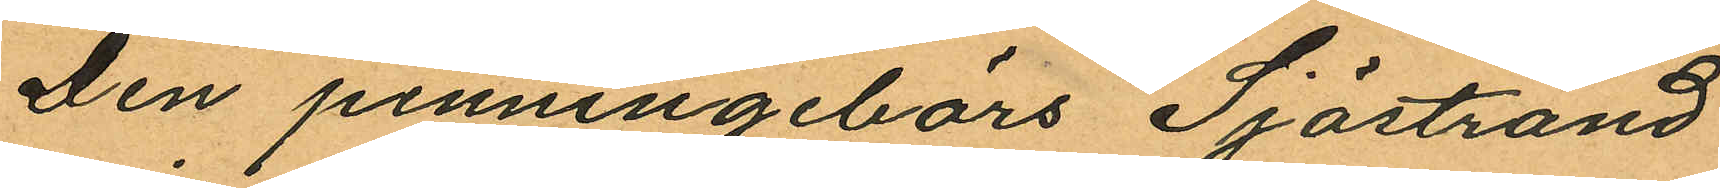Den penningebörs Sjöstrand
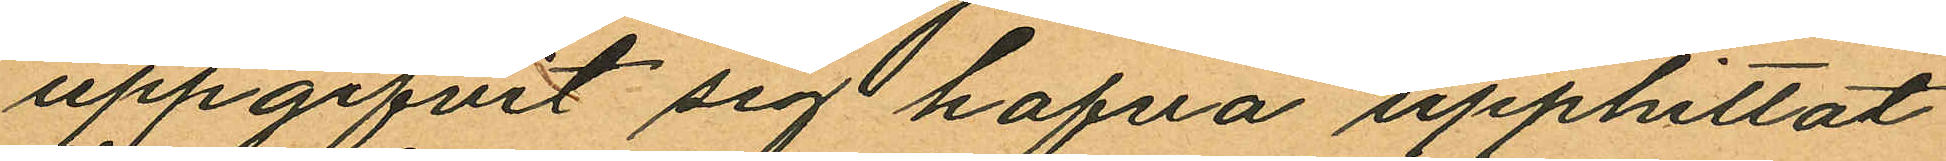uppgifvit sig hafva upphittat
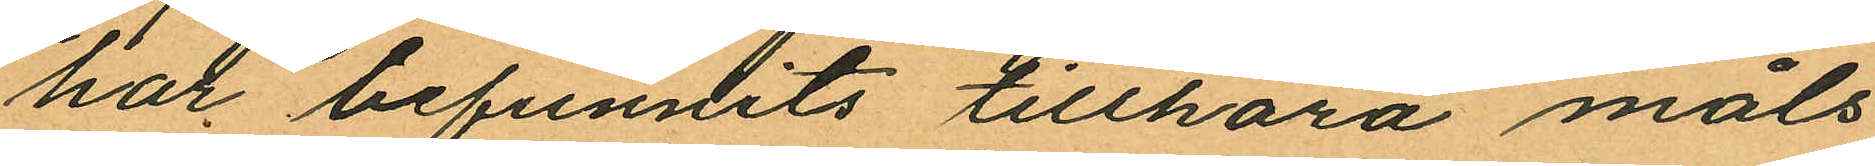har befunnits tillhöra måls¬
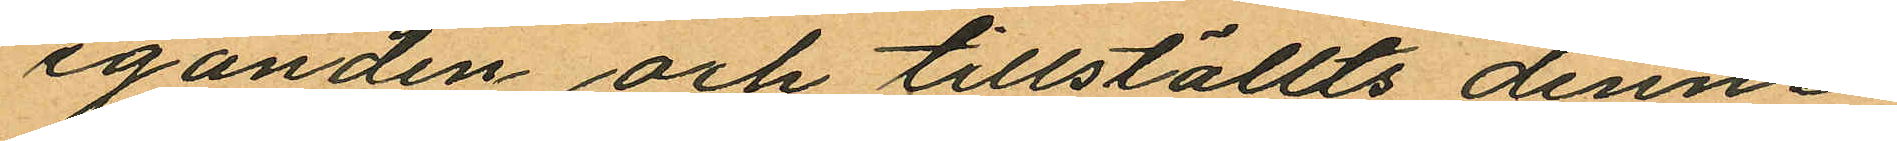eganden och tillställts denne.
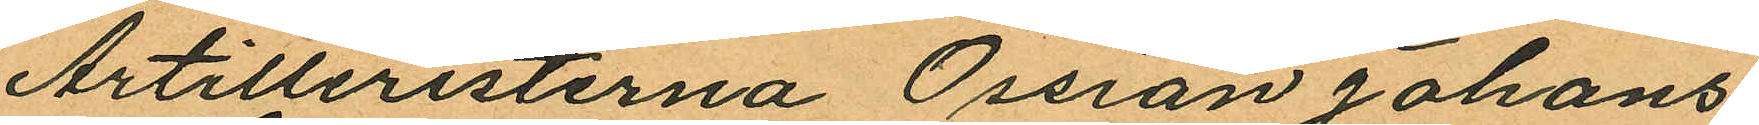Artilleristerna Ossian Johans¬
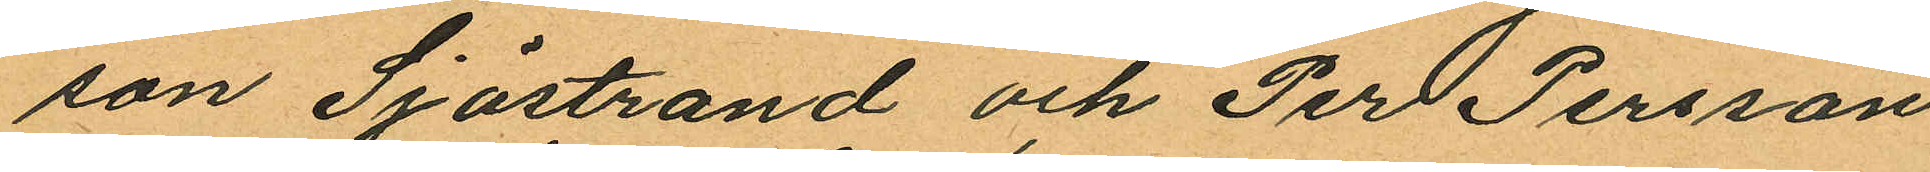son Sjöstrand och Per Persson
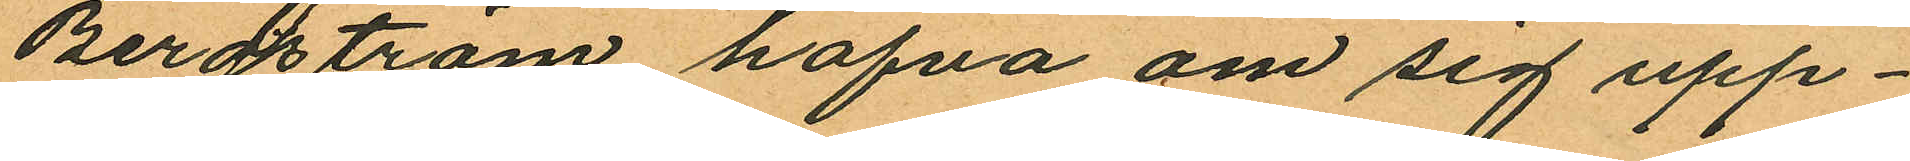Bergström hafva om sig upp¬
